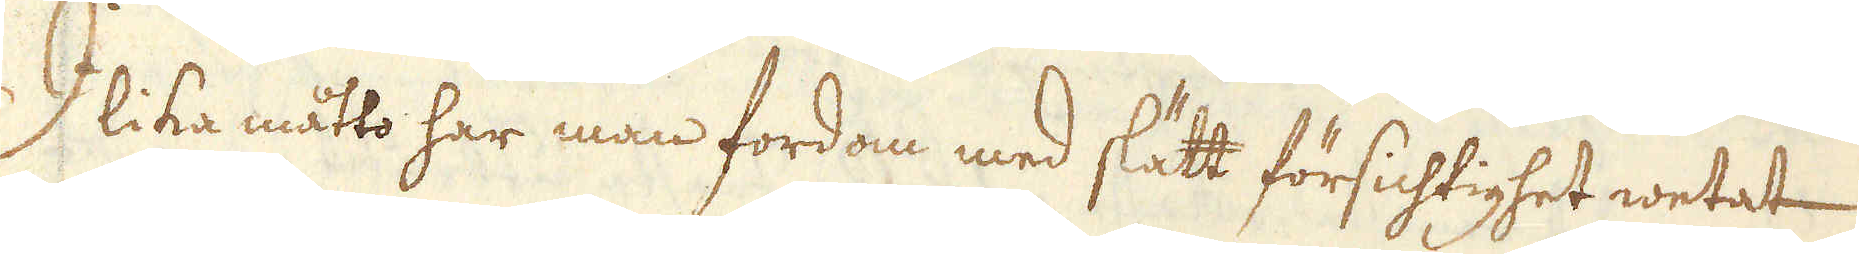I lika måtto har man fordom med slätt försichtighet wetat
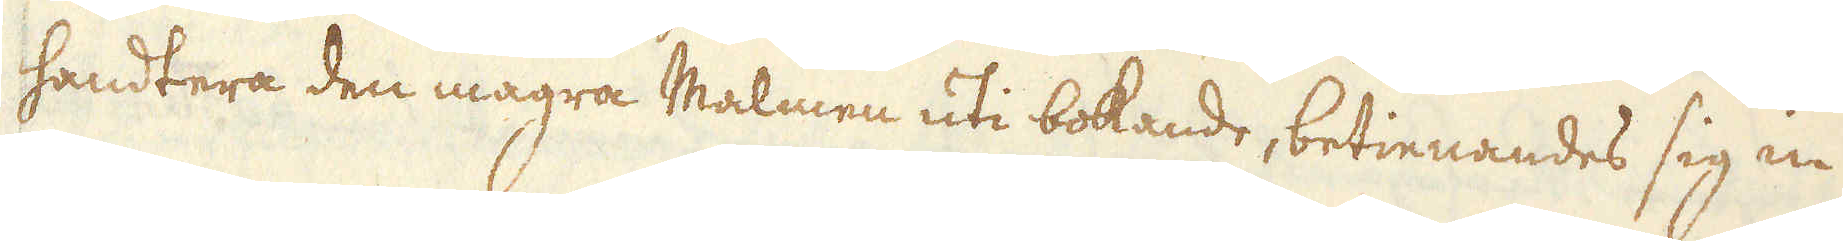handtera den magra Malmen uti bokande, betienandes sig in
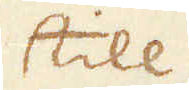till
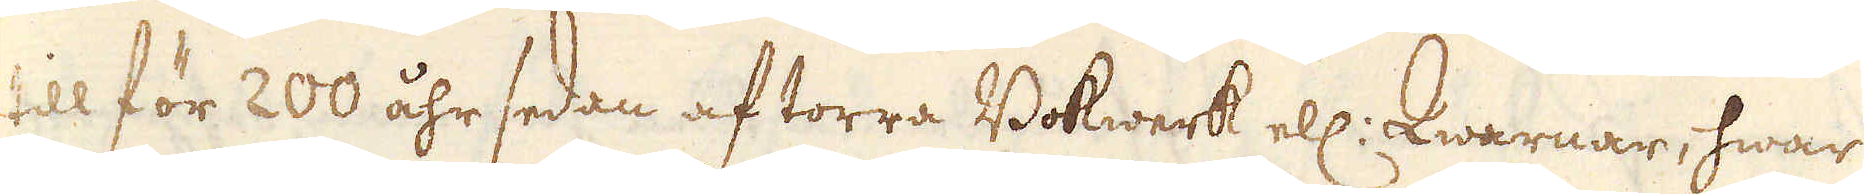till för 200 åhr sedan af torra Bokwerk ell: Qwarnar, hwar
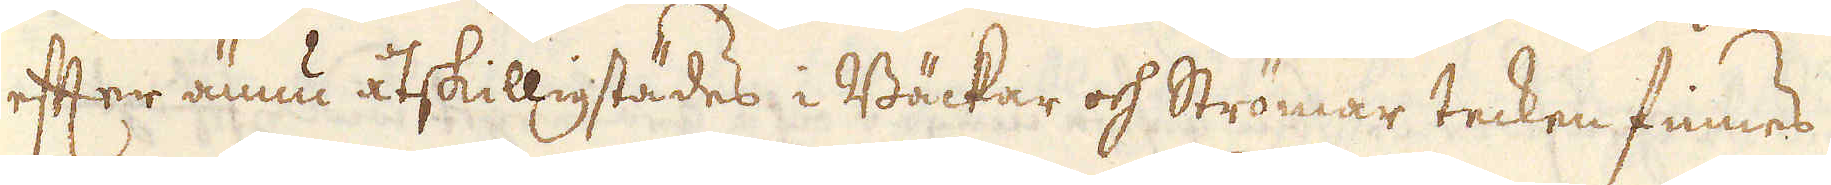efter ännu åtskilligstädes i Bäckar och Strömar tecken finnes
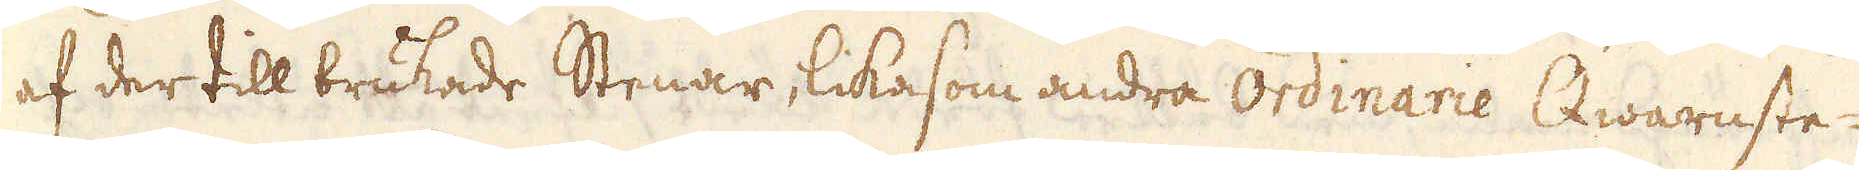af der till brukade Stenar, likasom andra ordinarie Qwarnste-
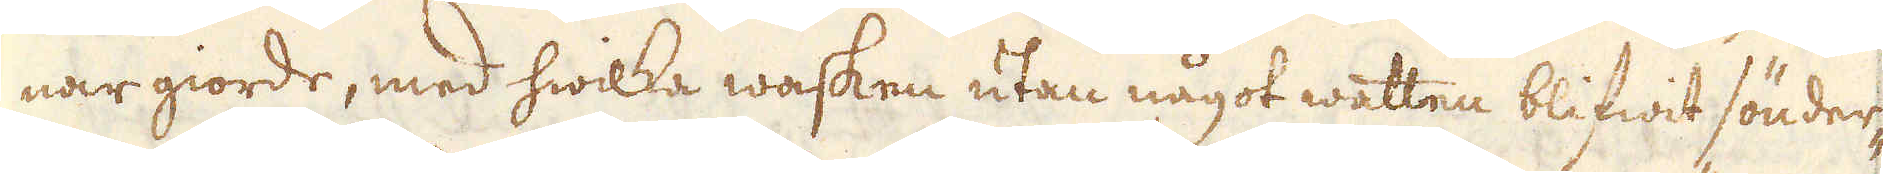nar giorde, med hwilka wasken utan något watten blifwit sönder-
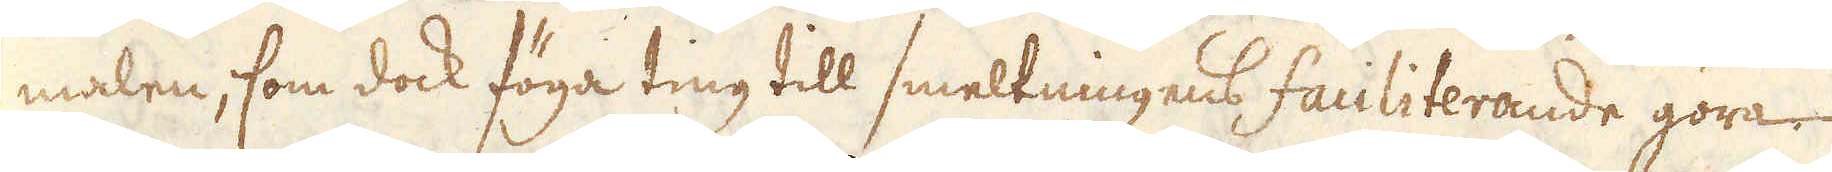malen, som dock föga ting till smeltningens faciliterande göra
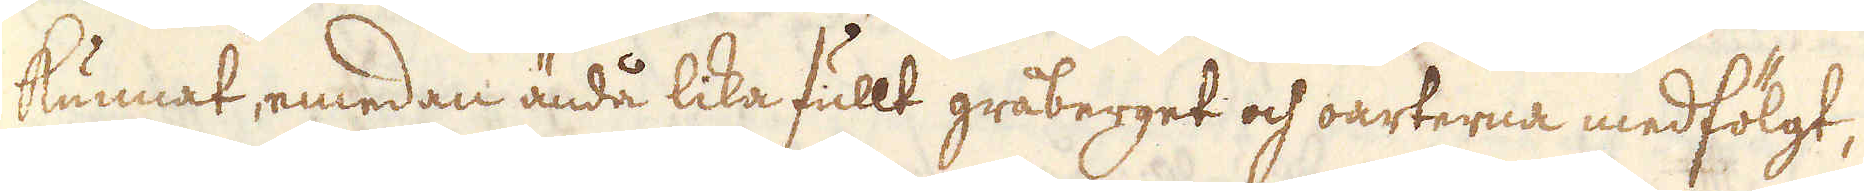kunnat, emedan ändå lika fullt gråberget och oarterna medfölgt,
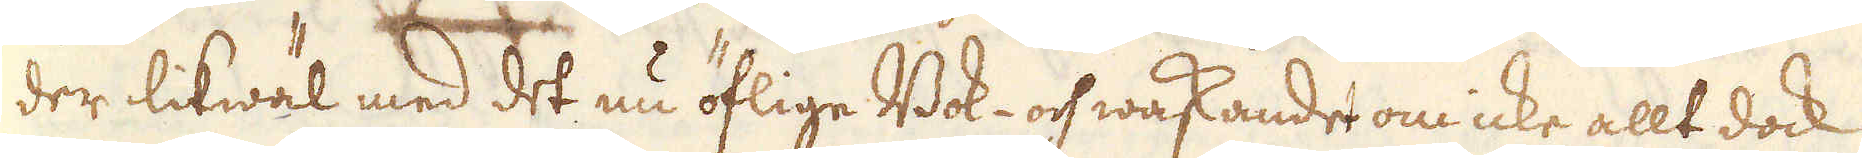der likwäl med det nu öflige Bok- och waskandet om icke allt dock
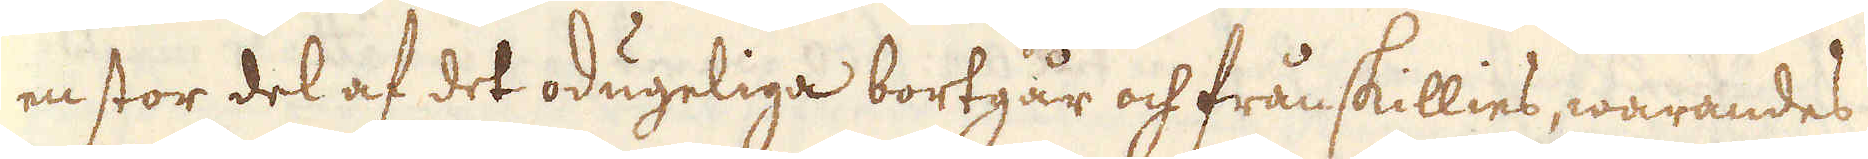en stor del af det odugeliga bortgår och frånskillies, warandes
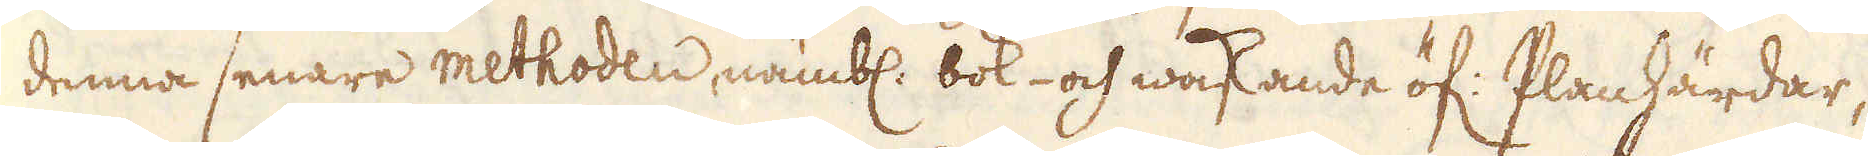denna senare methoden, nämbl: bok- och waskande öf: Planhärdar,
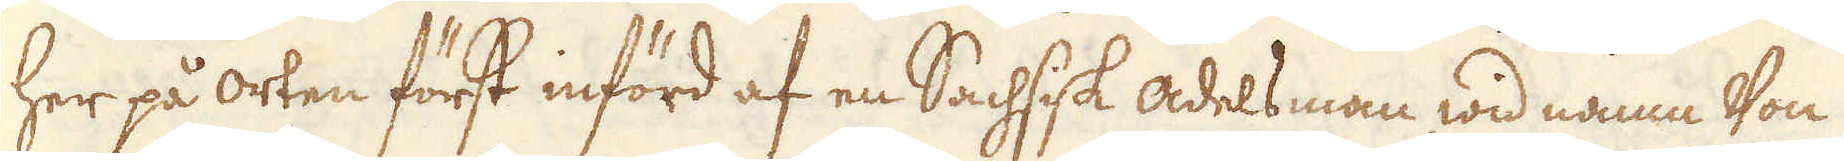her på orten först införd af en Sachsisk adelsman, wid namn Von
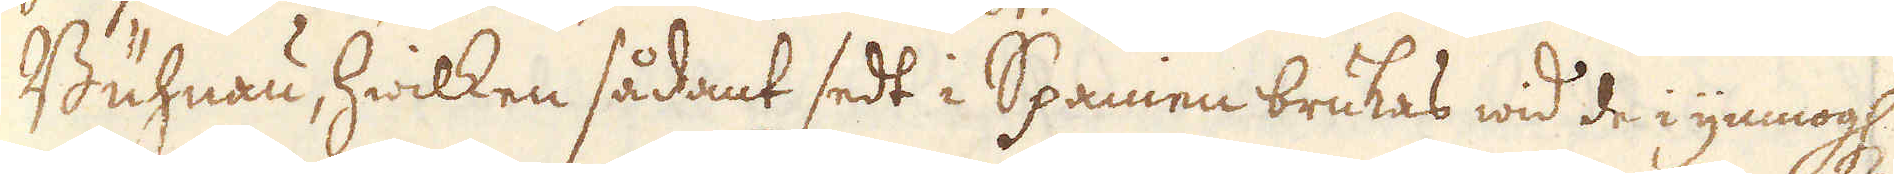Buhnan, hwilken sådant sedt i Spanien brukas wid de i ymnogh:
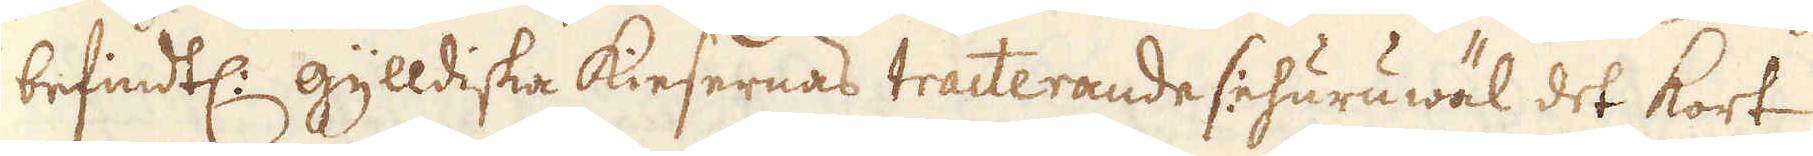befindtl: gylldiska Kiesernas tracterande (:ehuruwäl det kort
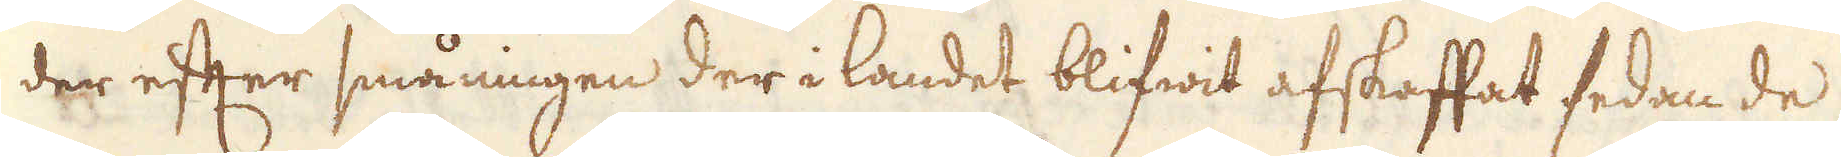der efter småningen der i landet blifwit afskaffat sedan de
